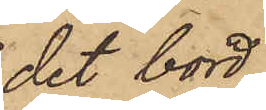det bord
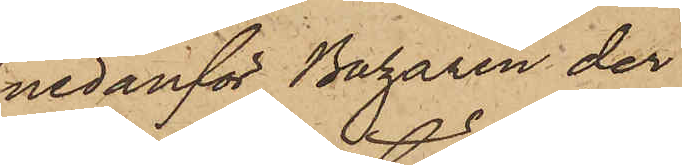nedanför Bazaren der
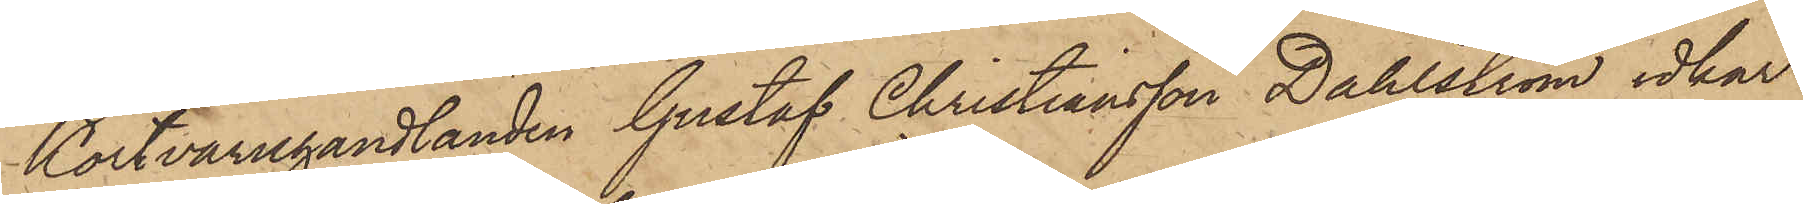Kortvaruhandlanden Gustaf Christiansson Dahlström idkar
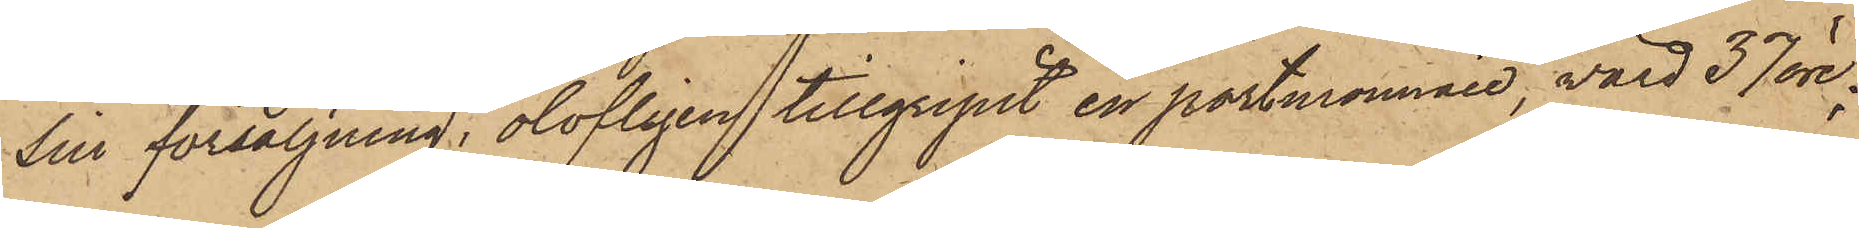sin försäljning, olofligen tillgripit en portmonnaie, värd 37 öre;
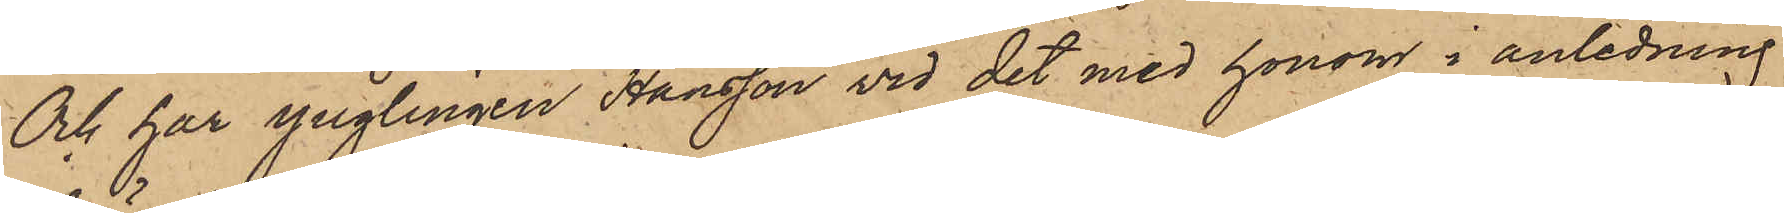Och har ynglingen Hansson vid det med honom i anledning
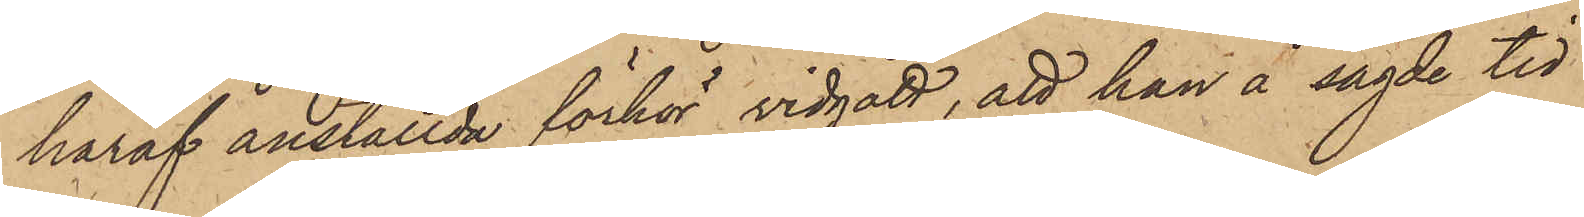häraf anställda förhör vidgått, att han å sagde tid
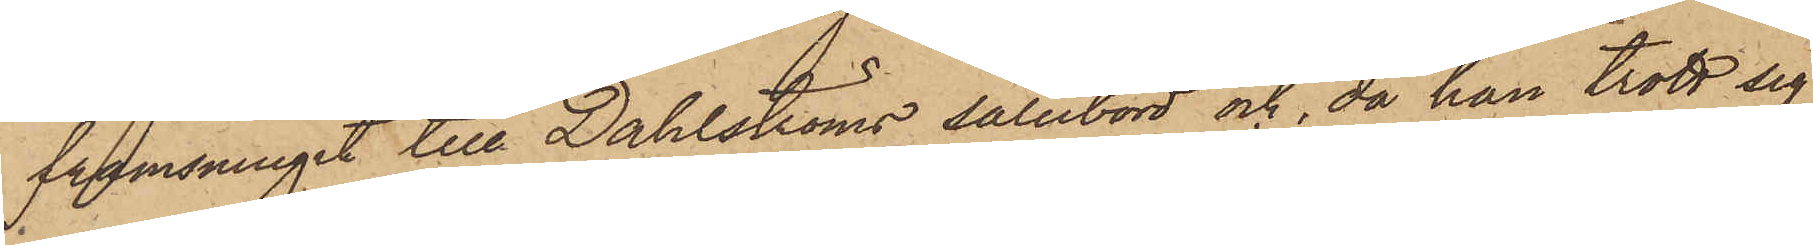framsmugit till Dahlströms salubord och, då han trott sig
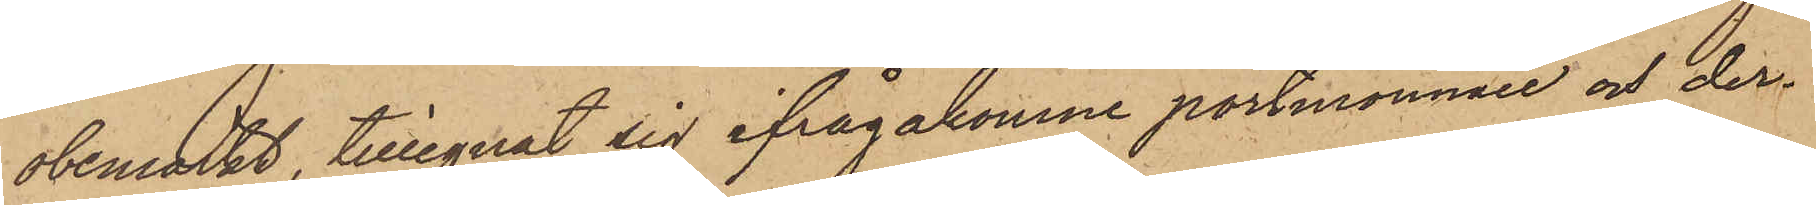obemärkt, tillegnat sig ifrågakomne portmonnaie och der¬
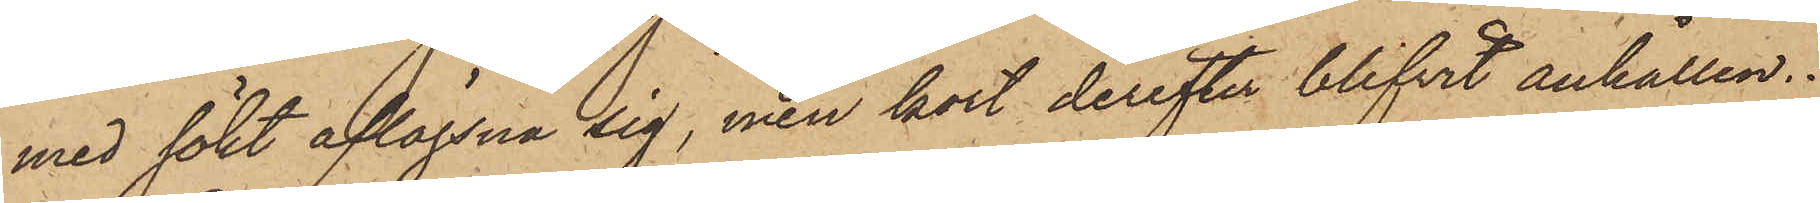med sökt aflägsna sig, men kort derefter blifvit anhållen.
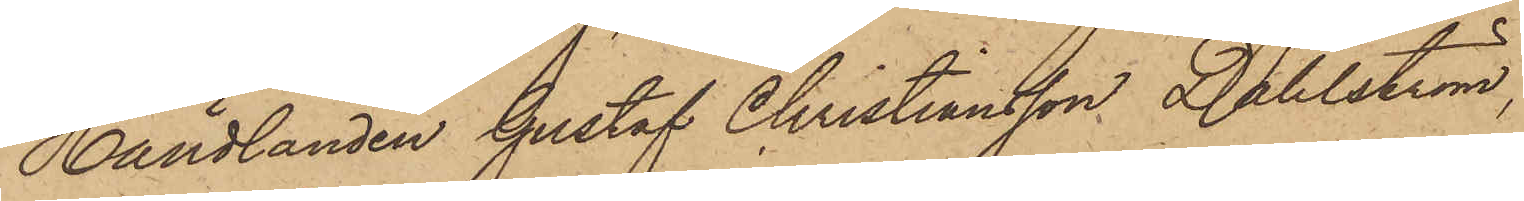Handlanden Gustaf Christiansson Dahlström,
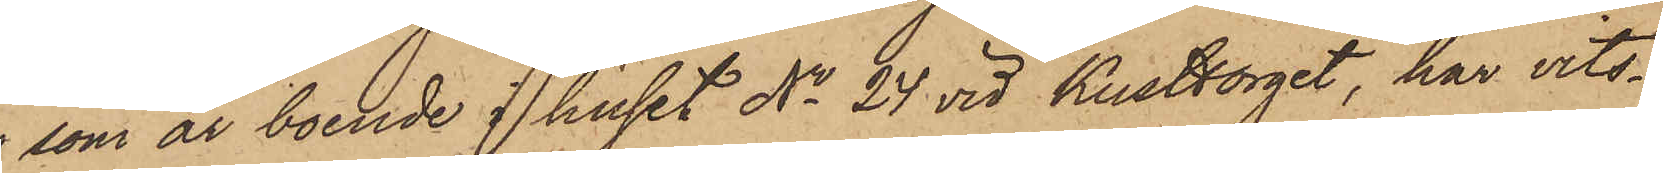som är boende i huset No 24 vid Kusttorget, har vits¬
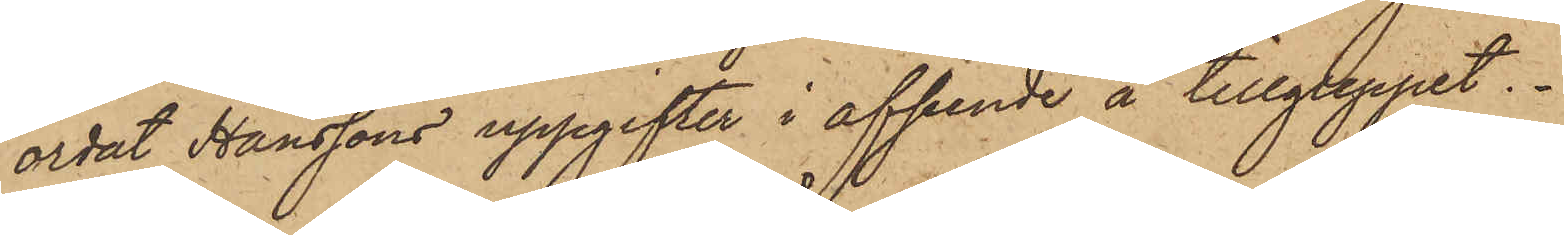ordat Hanssons uppgifter i afseende å tillgreppet.
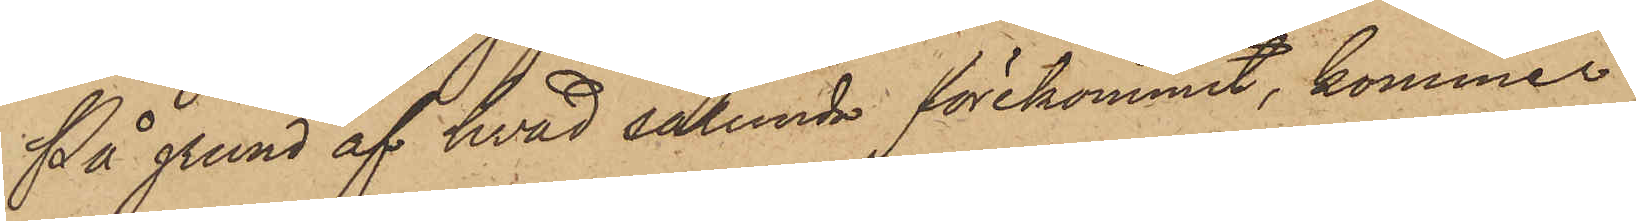På grund af hvad sålunda förekommit, kommer
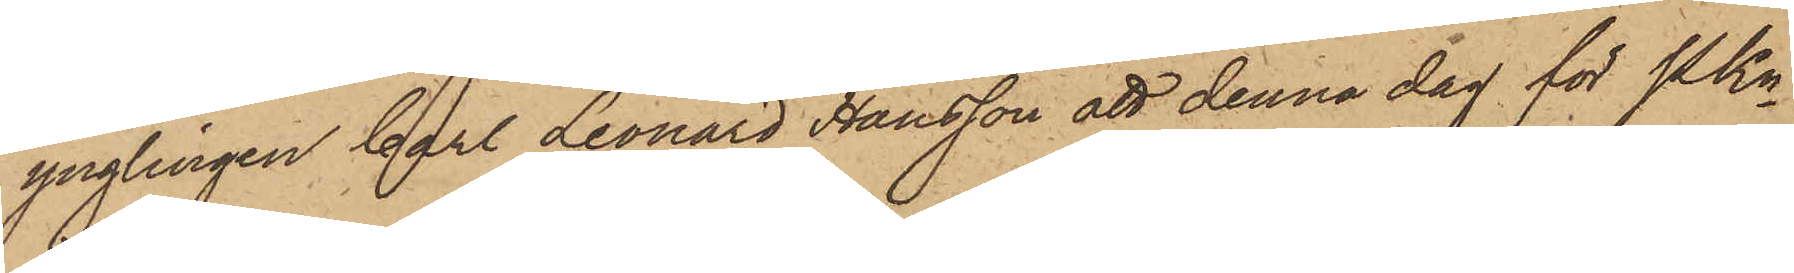ynglingen Carl Leonard Hansson att denna dag för Pkn
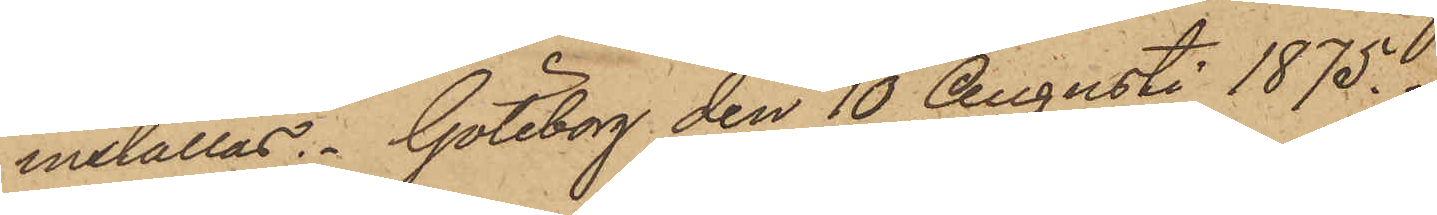inställas. Göteborg den 10 Augusti 1875.
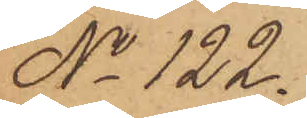No 122.
